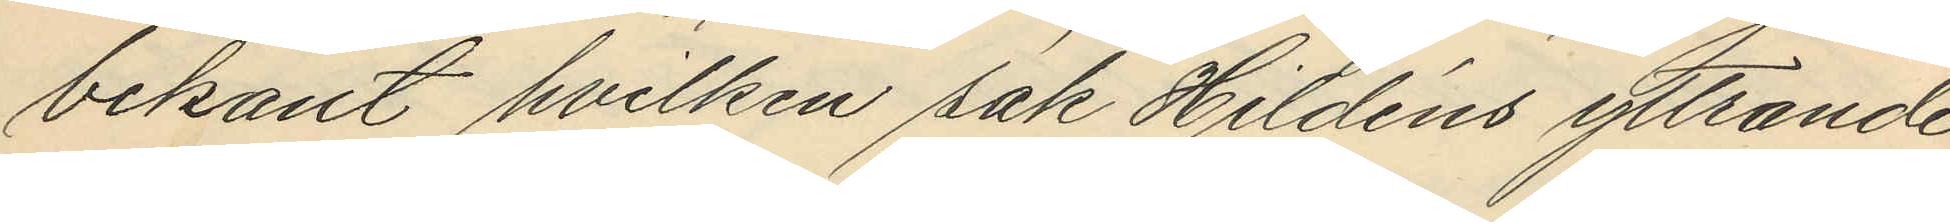bekant hvilken sak Hildéns yttrande
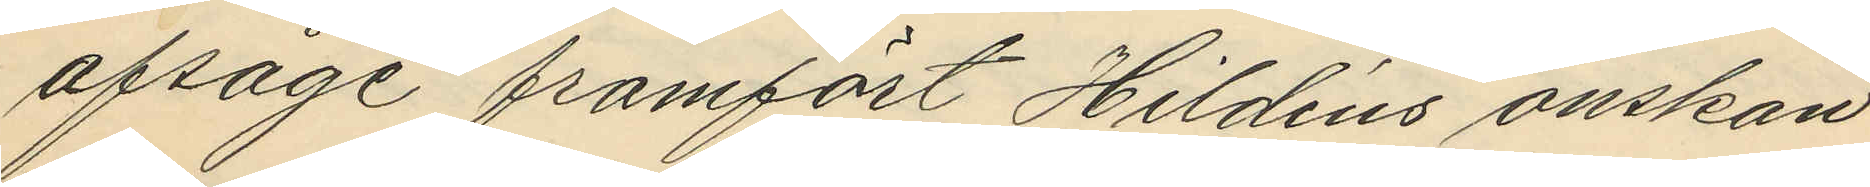afsåge framfört Hildéns önskan
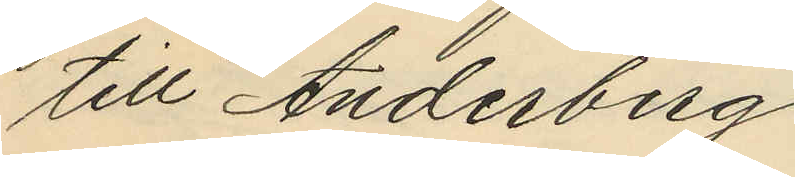till Anderberg.
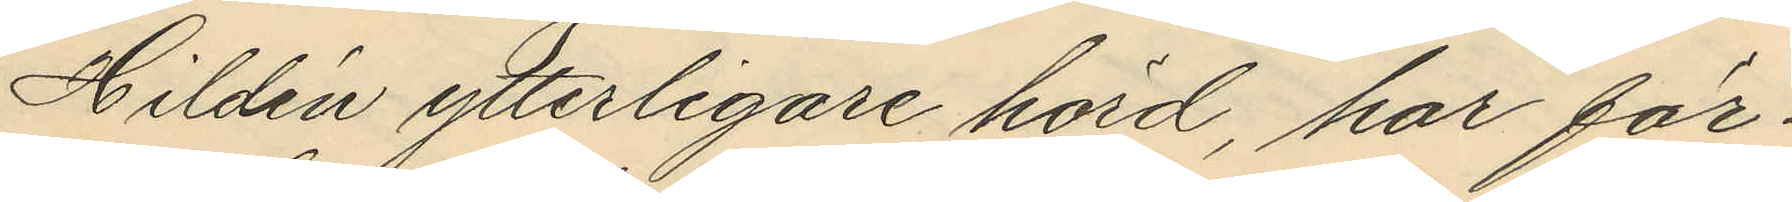Hildén ytterligare hörd, har för¬
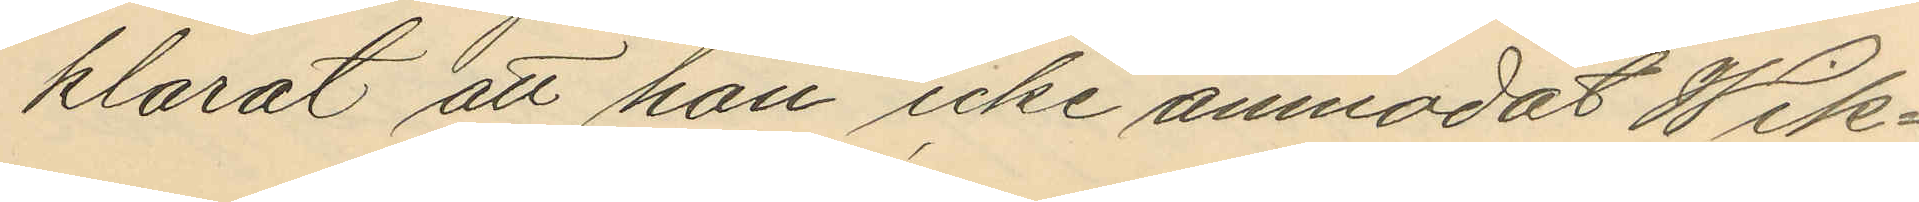klarat att han icke anmodat Wik¬
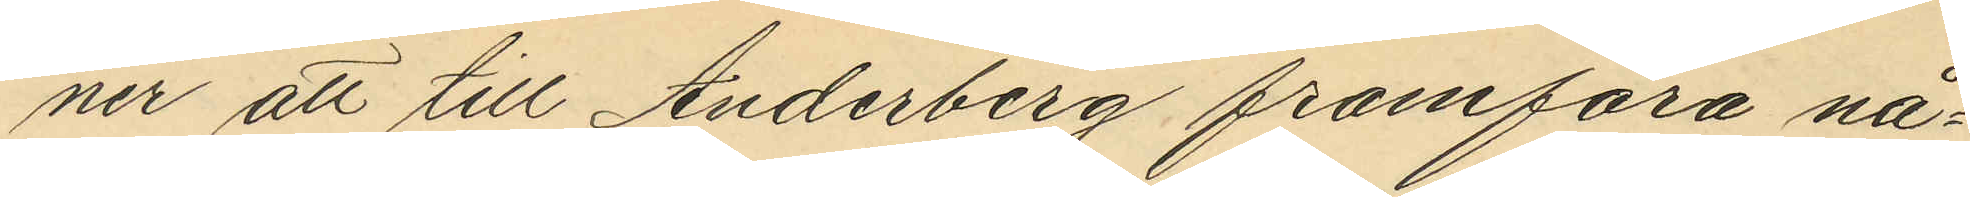ner att till Anderberg framföra nå¬
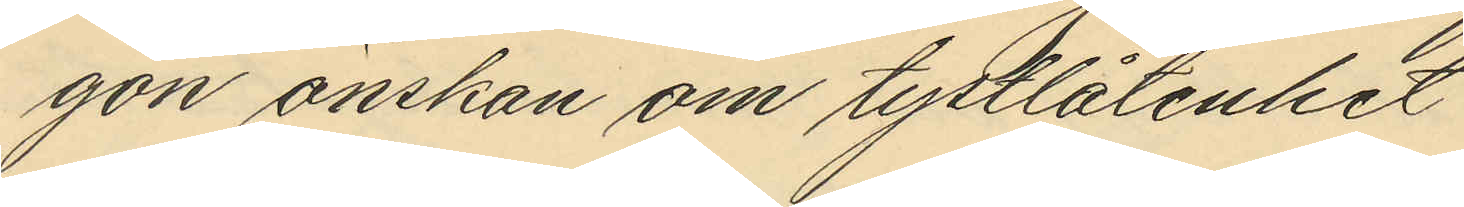gon önskan om tystlåtenhet
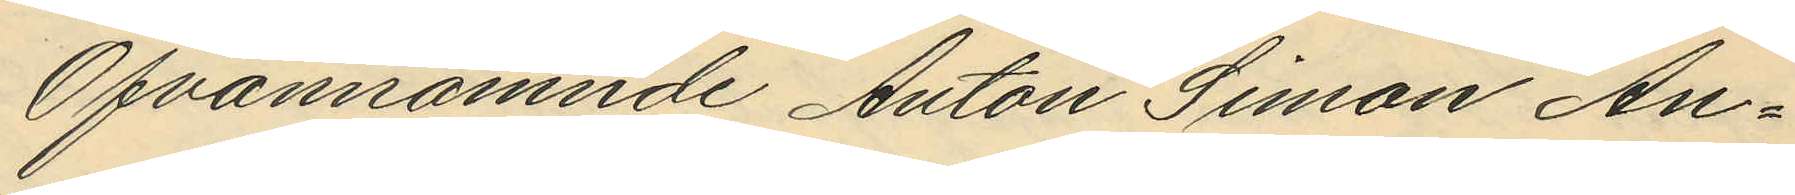Ofvannämnde Anton Simon An¬
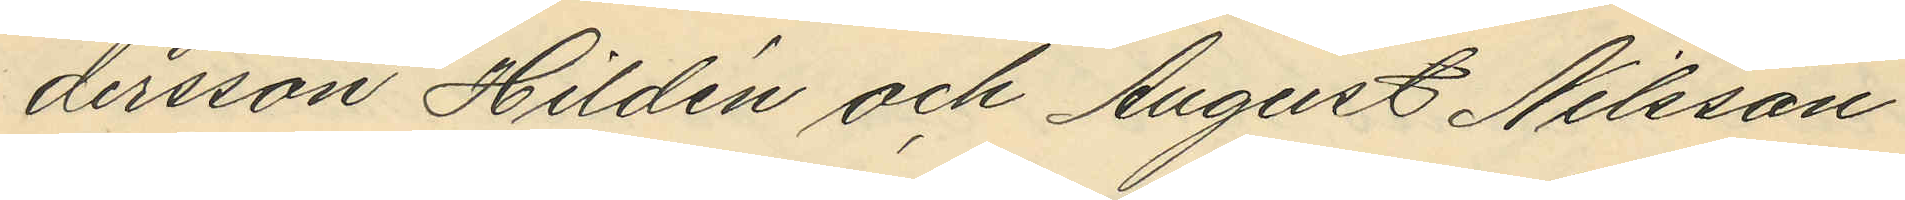dersson Hildén och August Nilsson
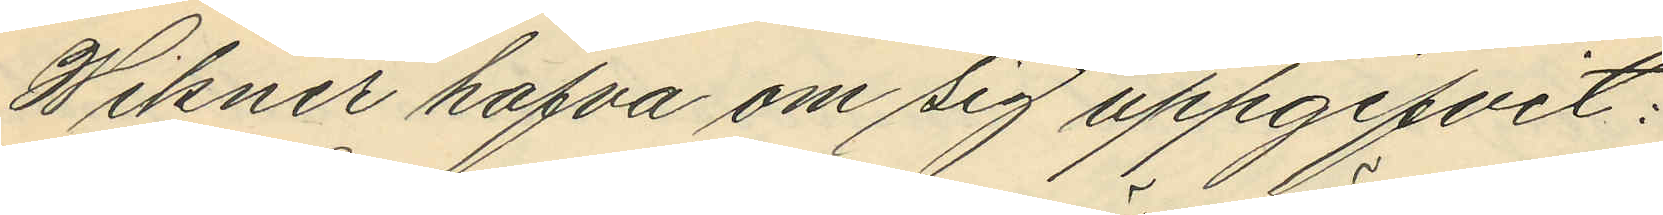Wikner hafva om sig uppgifvit:
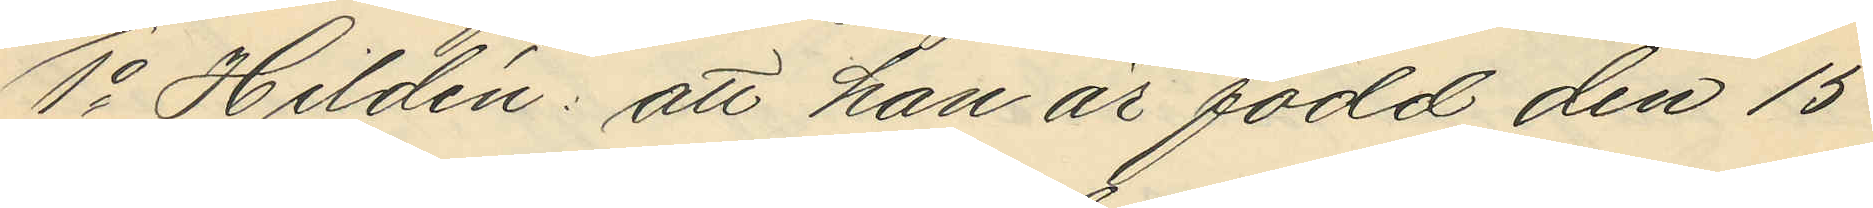1o Hildén: att han är född den 15
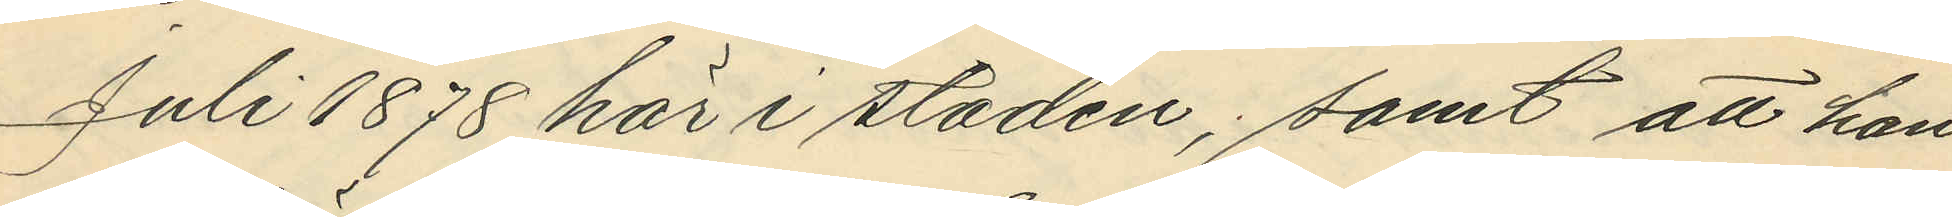Juli 1878 här i staden, samt att han
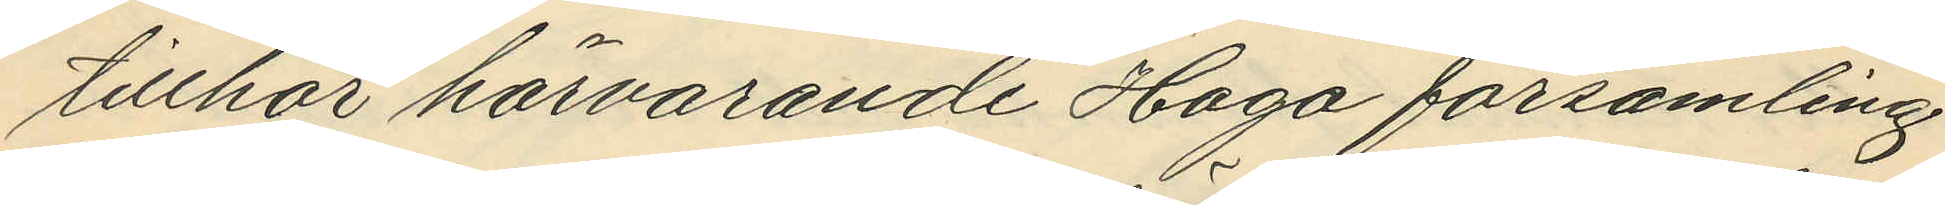tillhör härvarande Haga församling.
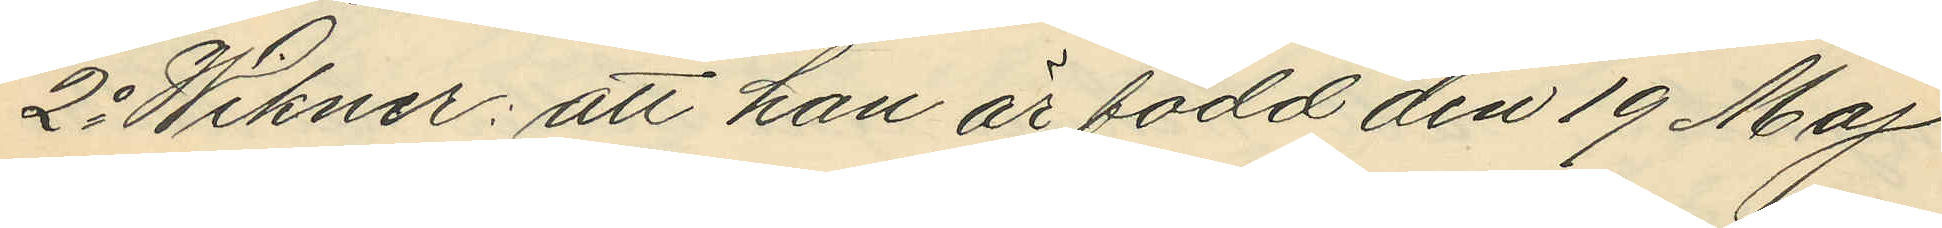2o Wikner: att han är född den 19 Maj
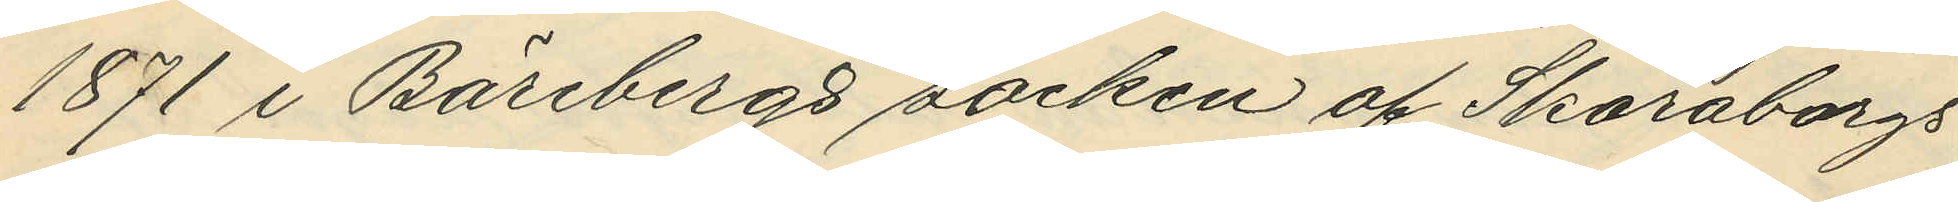1871 i Bärebergs socken af Skaraborgs
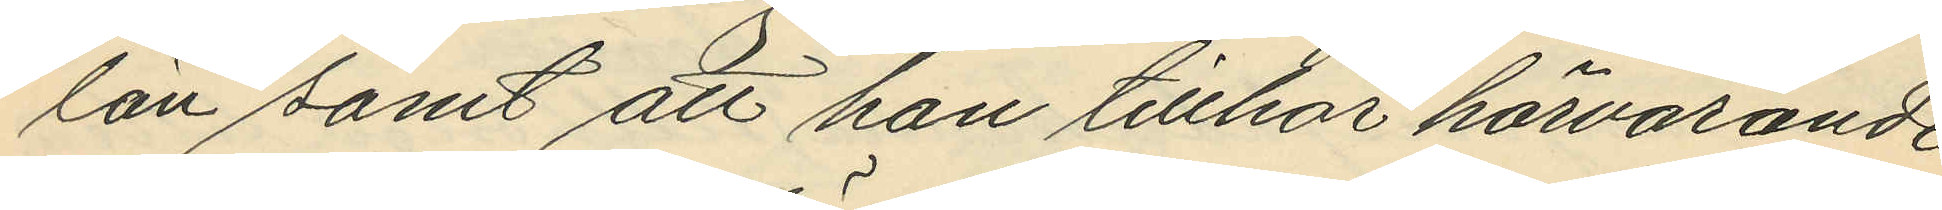län samt att han tillhör härvarande
